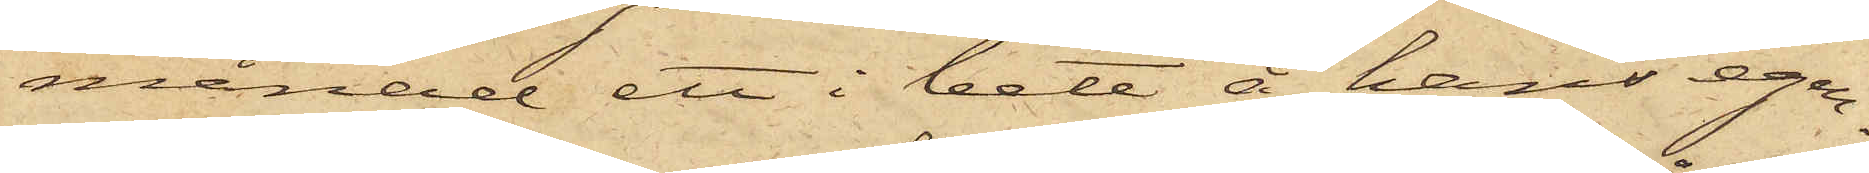månad ett i bete å hans egen¬
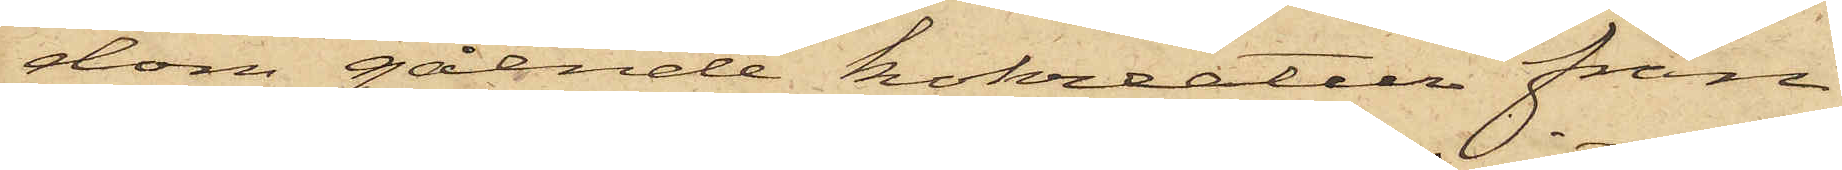dom gående kokreatur från
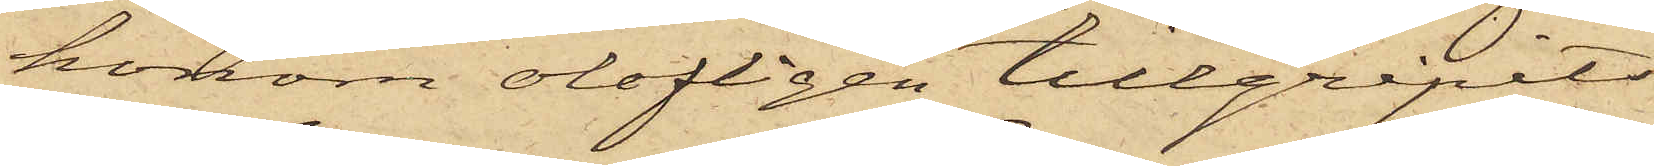honom olofligen tillgripits
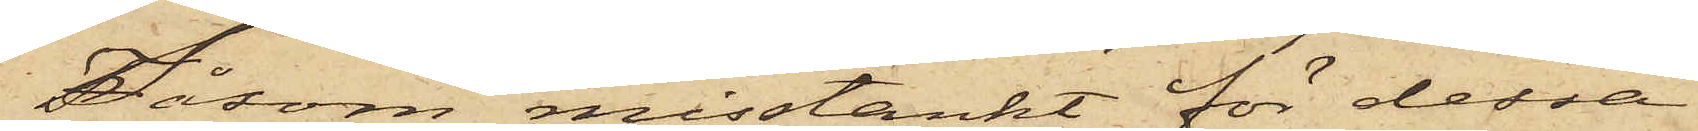Såsom misstänkt för dessa
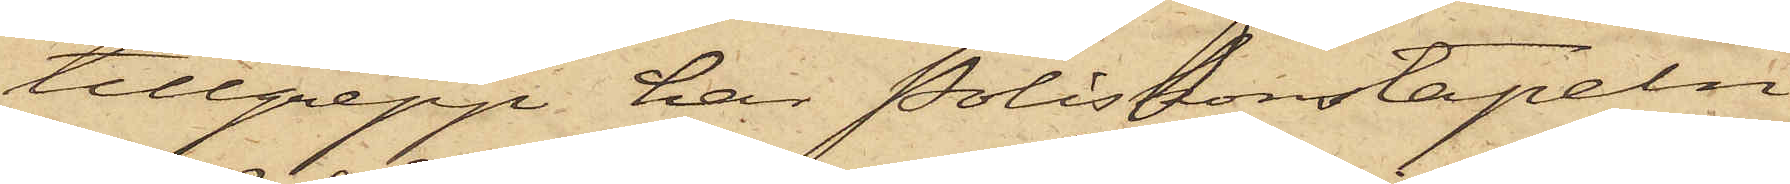tillgrepp har Poliskonstapeln
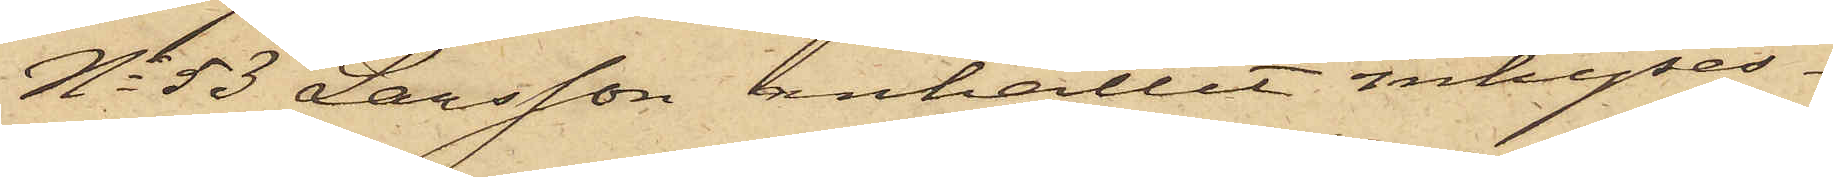No 53 Larsson anhållit inhyses¬
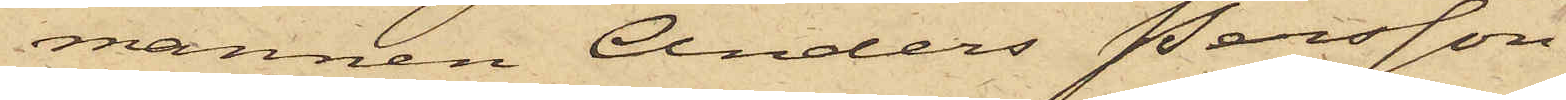mannen Anders Persson
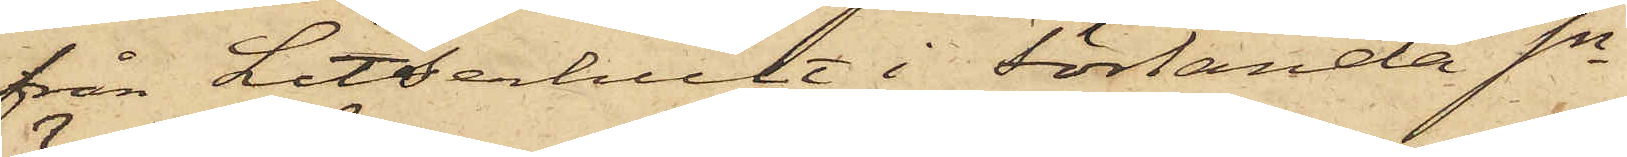från Litserhult i Förlanda Sn
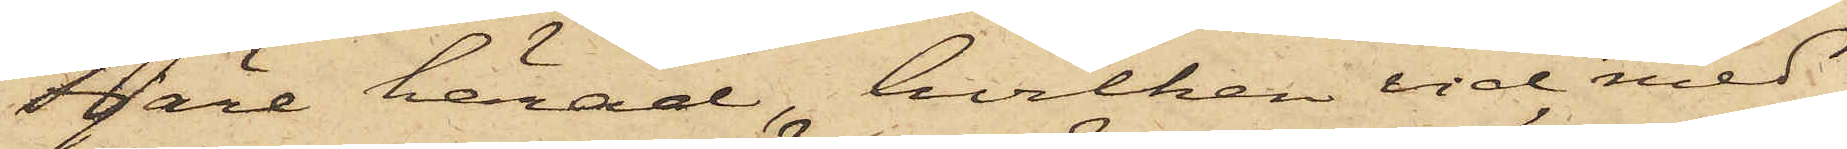Fjäre härad, hvilken vid med
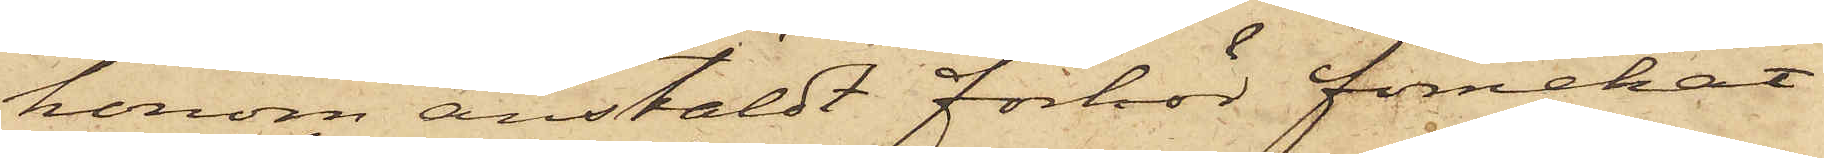honom anstäldt förhör förnekat
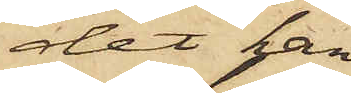det han
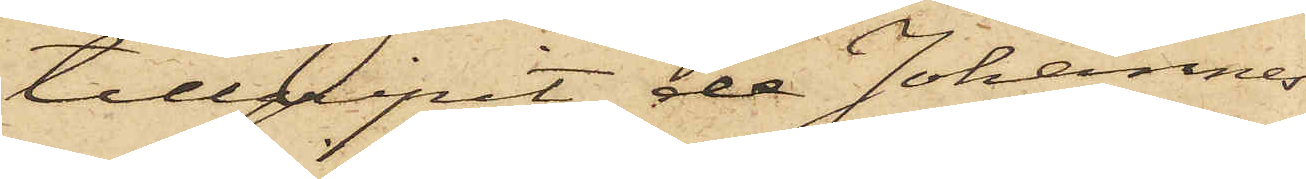tillgripit de Johannes
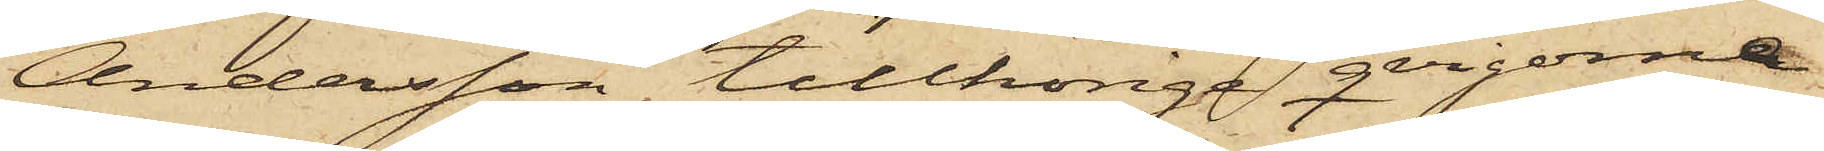Andersson tillhöriga qvigorna
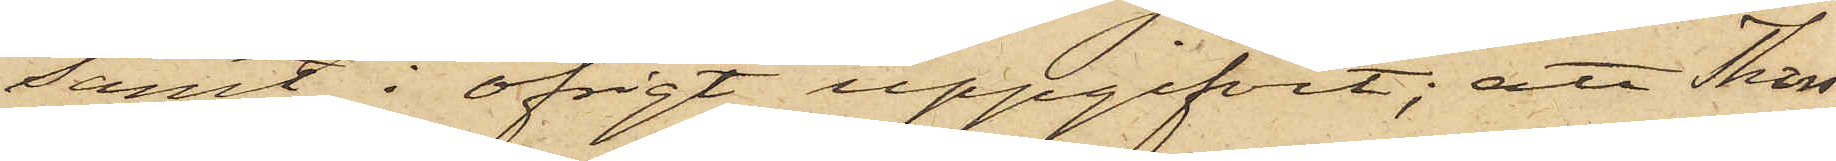samt i öfrigt uppgifvit; att Thors¬
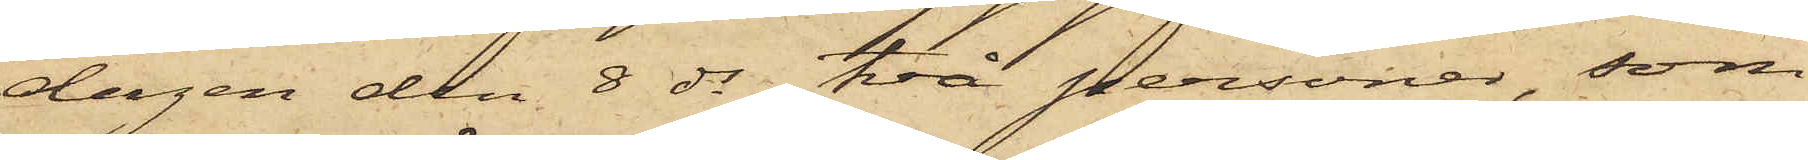dagen den 8 ds två personer, som
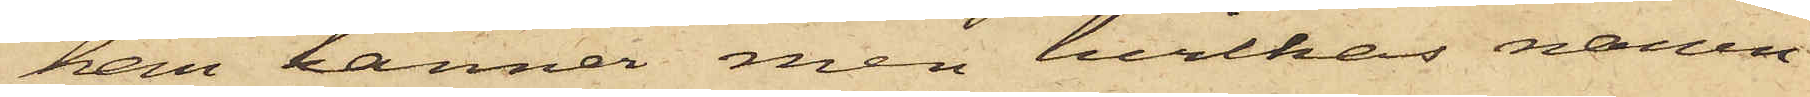han känner men hvilkas namn
